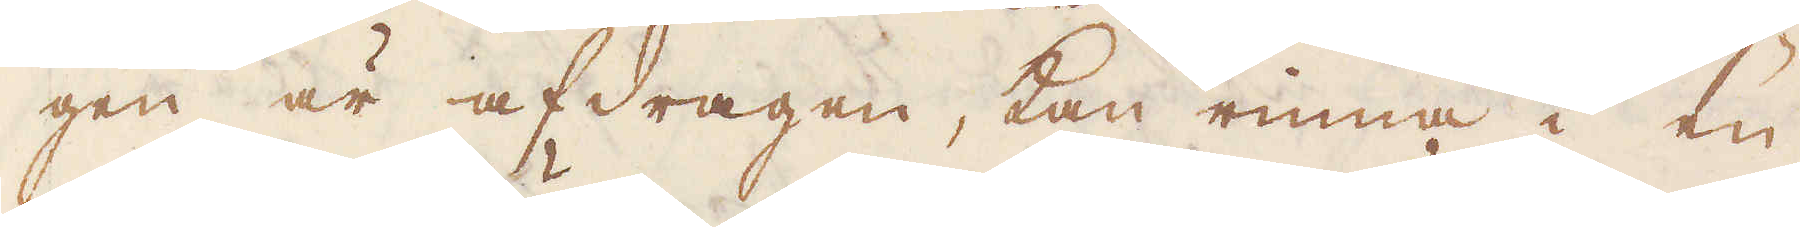gen är afdragen, kan rinna i en
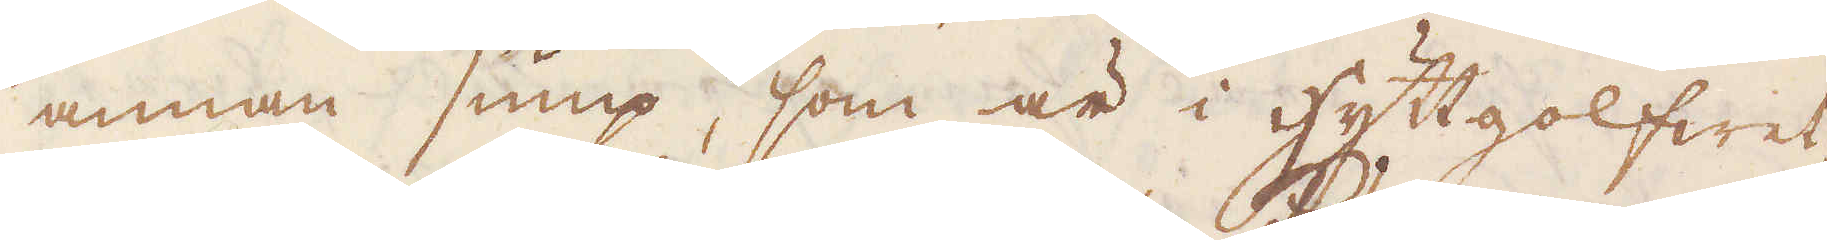annan sump, som är i hyttgolfwet,
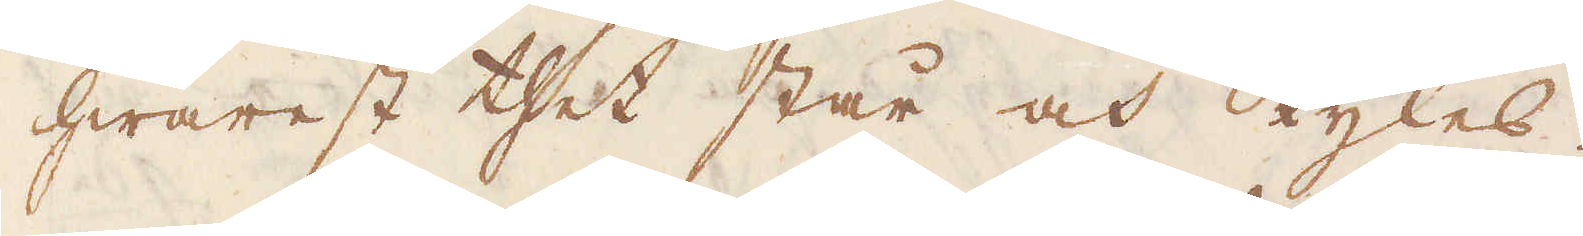hwarest thet står och kyles.
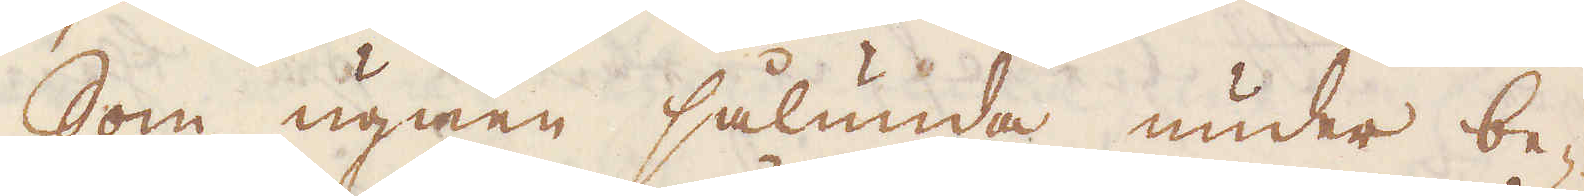Som ugnen sålunda under be-
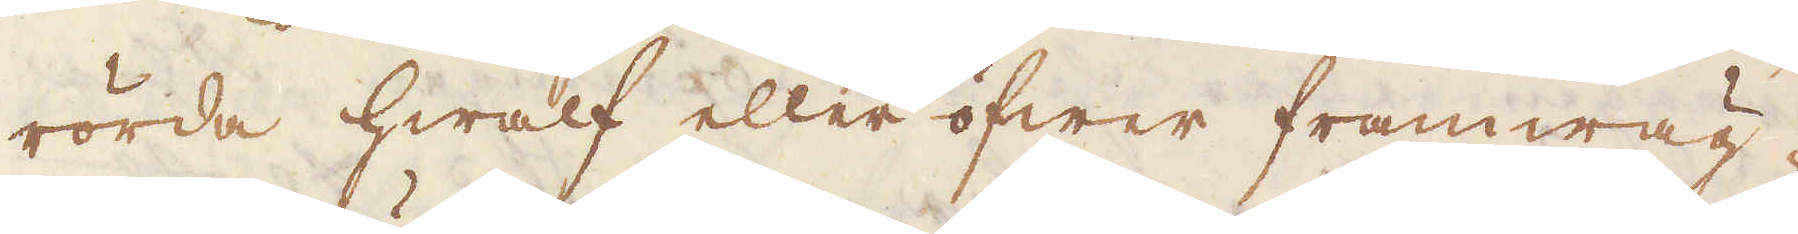rörda hwalf eller öfwer framwäg-
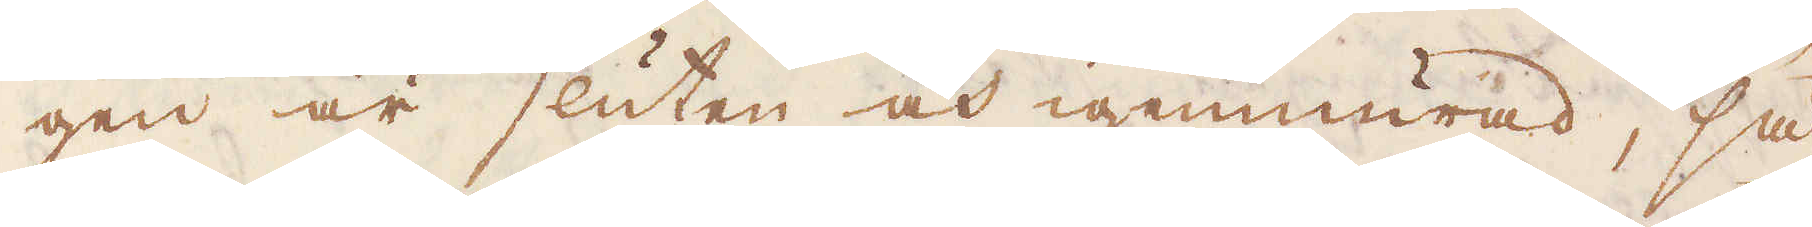gen är sluten och igenmurad, så
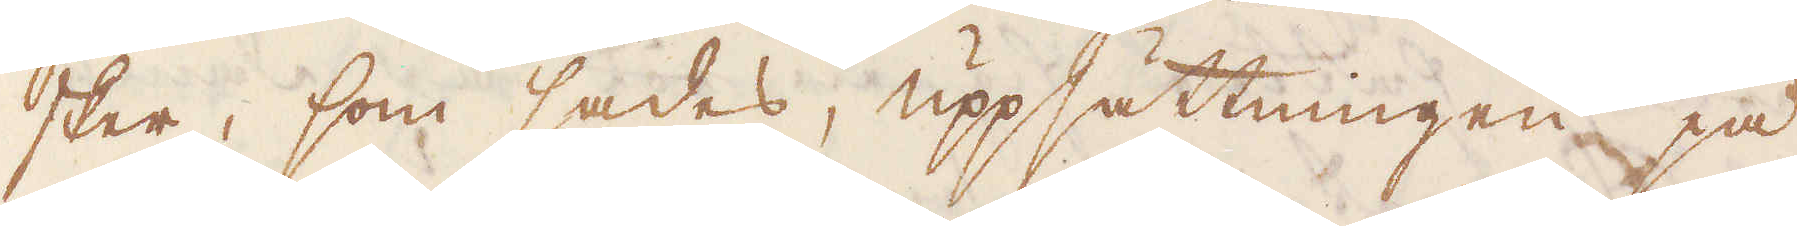sker, som sades, uppsättningen på
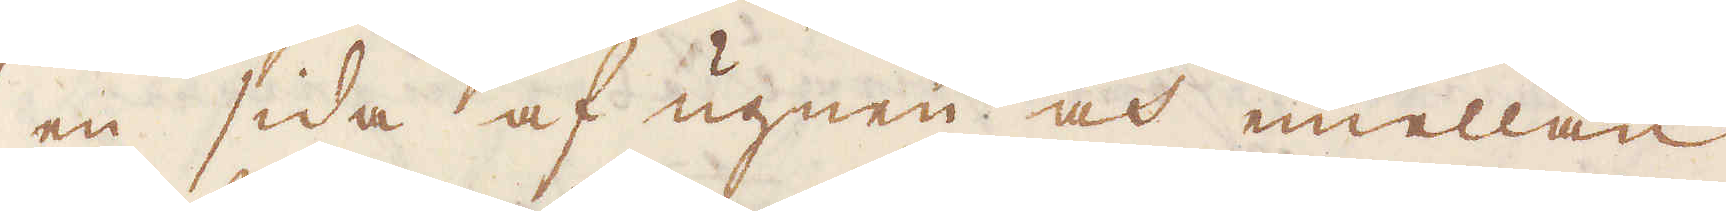en sida af ugnen och emellan
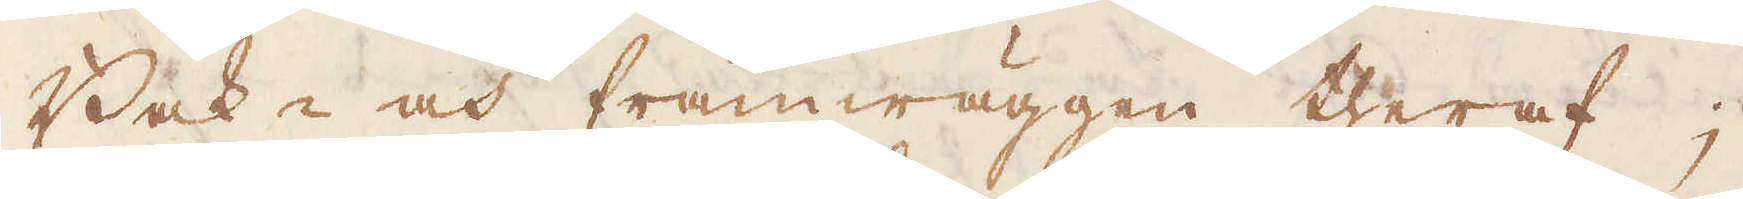Bak- och framwäggen theraf;
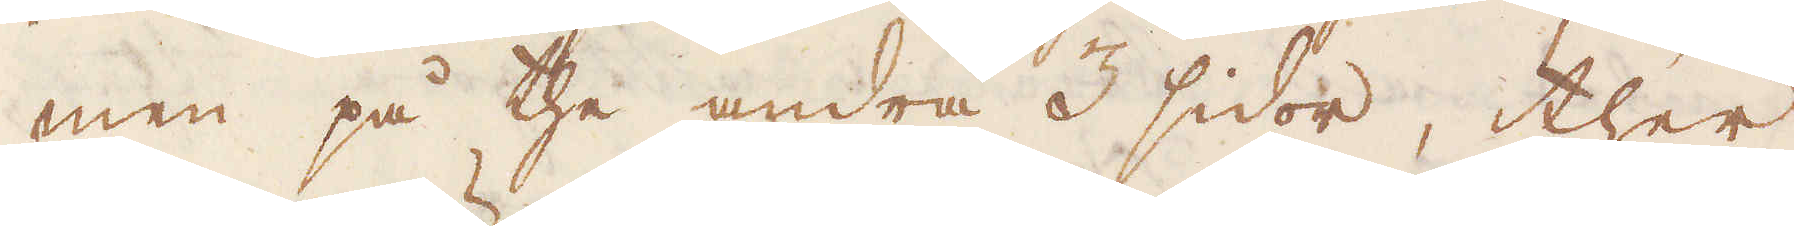men på the andra 3 sidor, ther
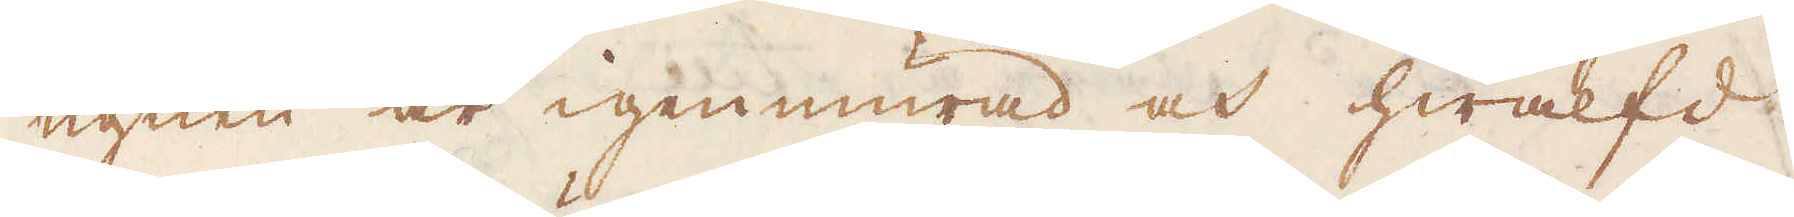ugnen är igenmurad och hwälfd
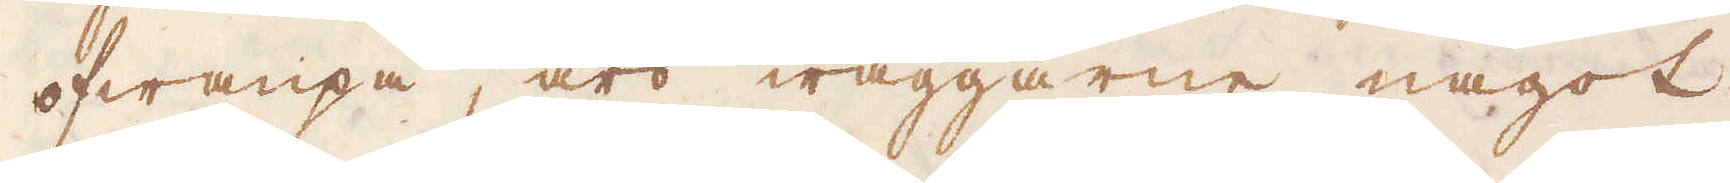ofwanpå, äro wäggarne något
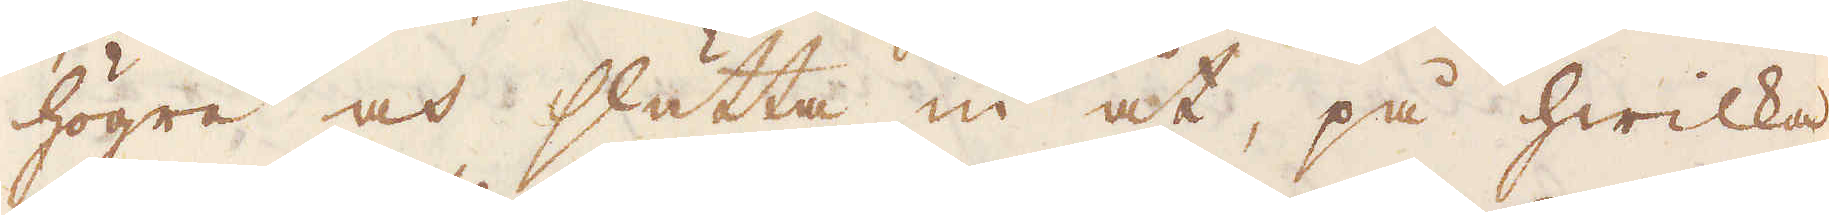högre och slutta in åt, på hwilka
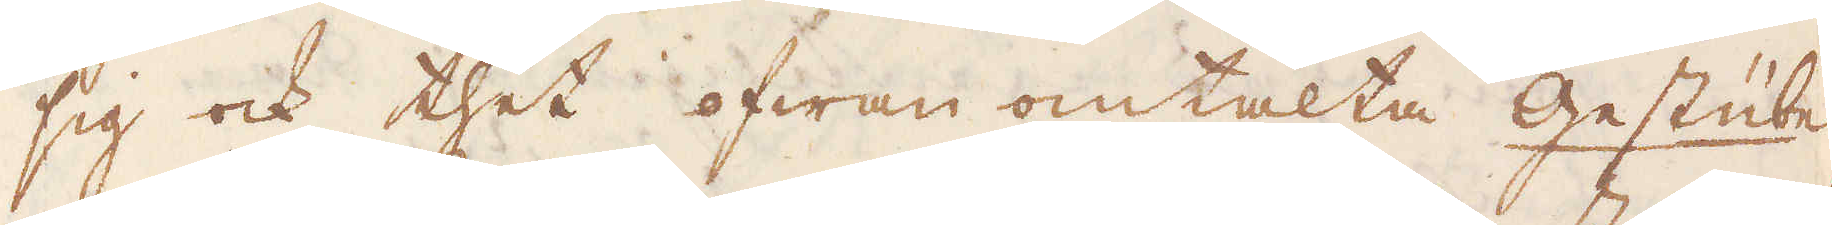sig ock thet ofwan omtalta Gestübe
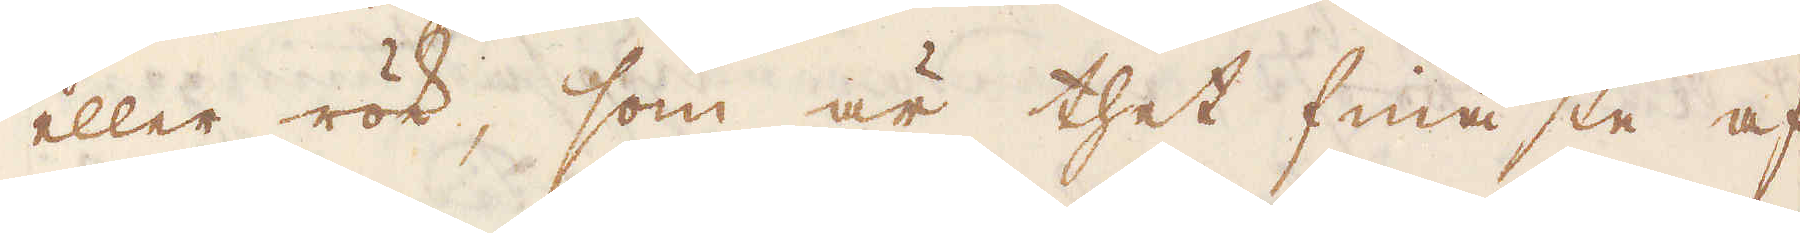eller rök, som är thet finaste af
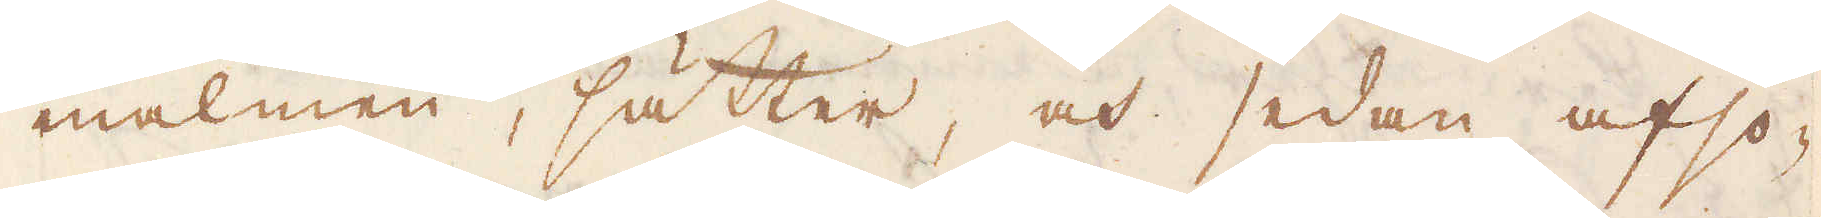malmen, sätter, och sedan afso-
